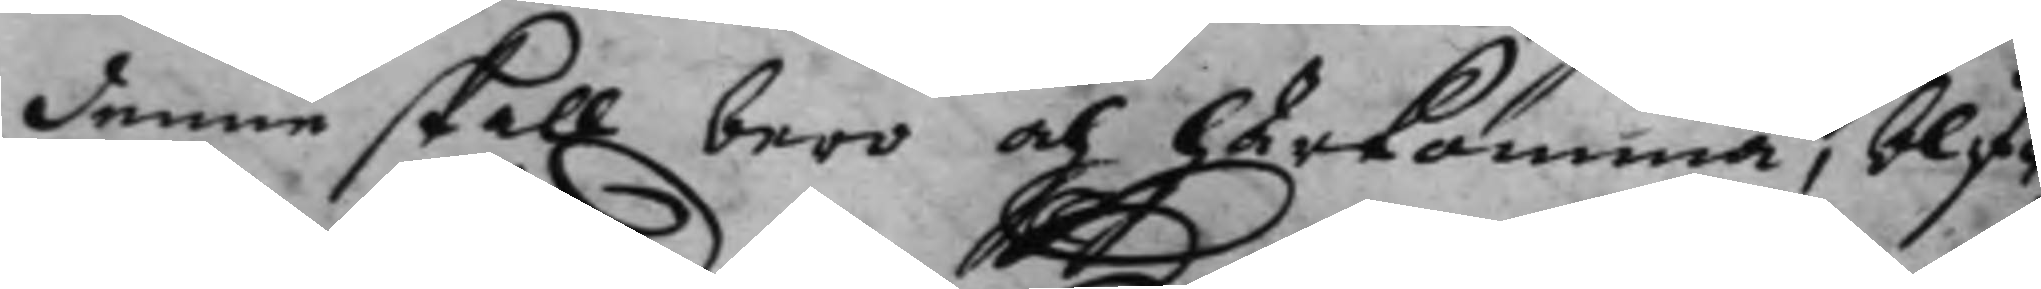denne skall bero och härkomma, blif¬ 
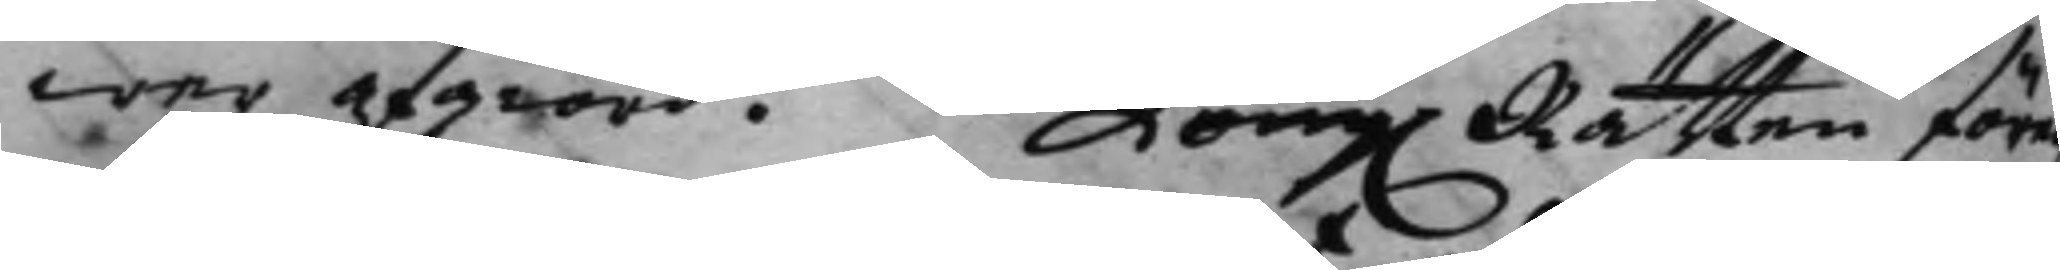wer afgiord. Kong. Rätten före¬ 
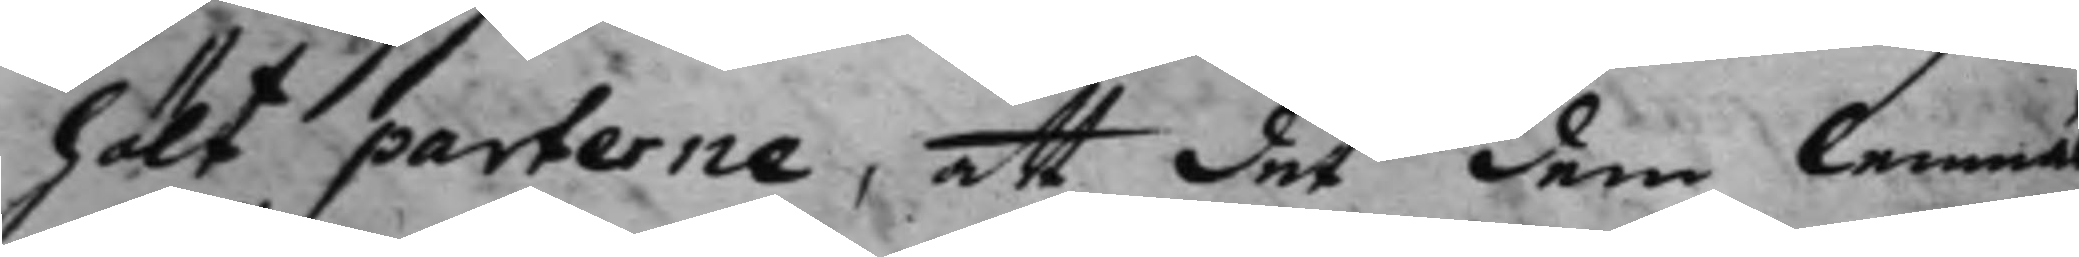hölt parterne, att det dem lemnas
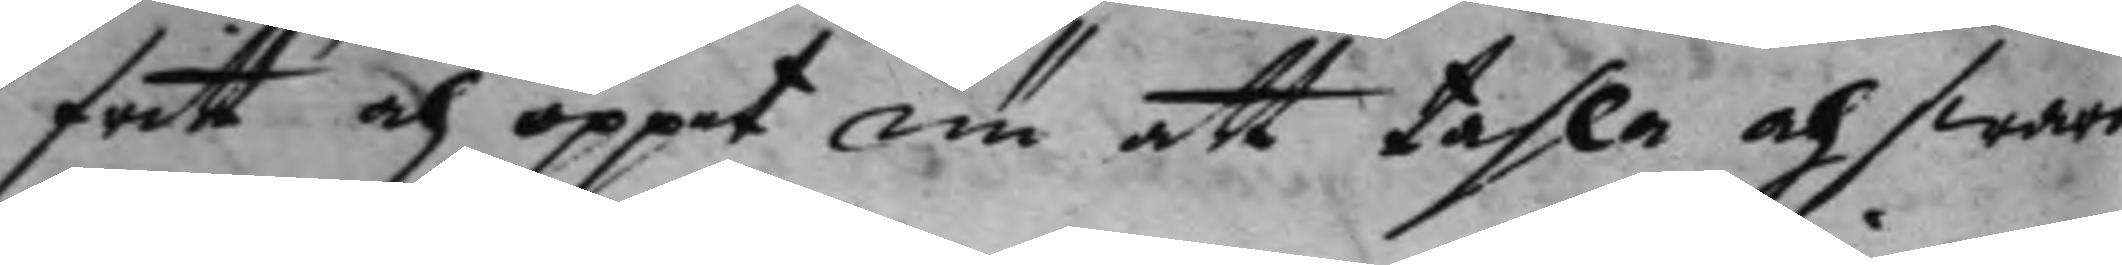fritt och öppet om att tahla och swara
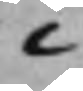i
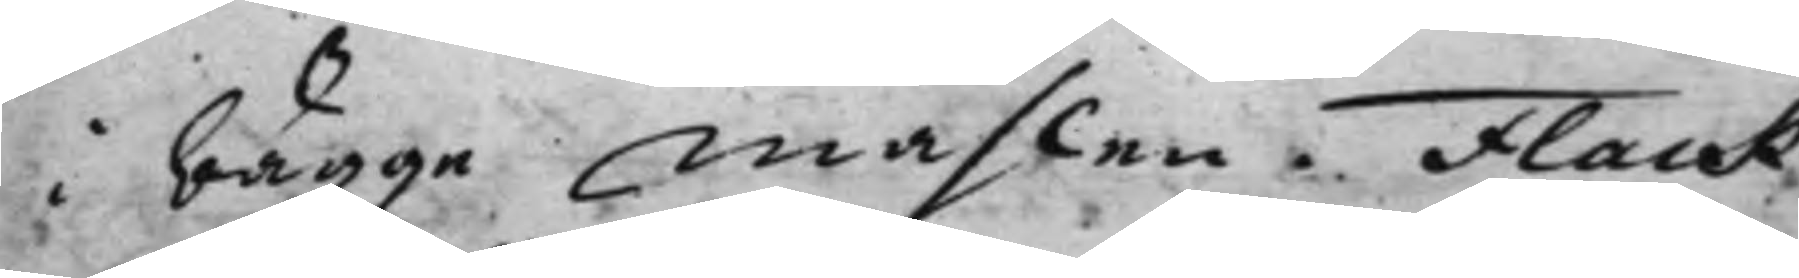i bägge måhlen. Flack
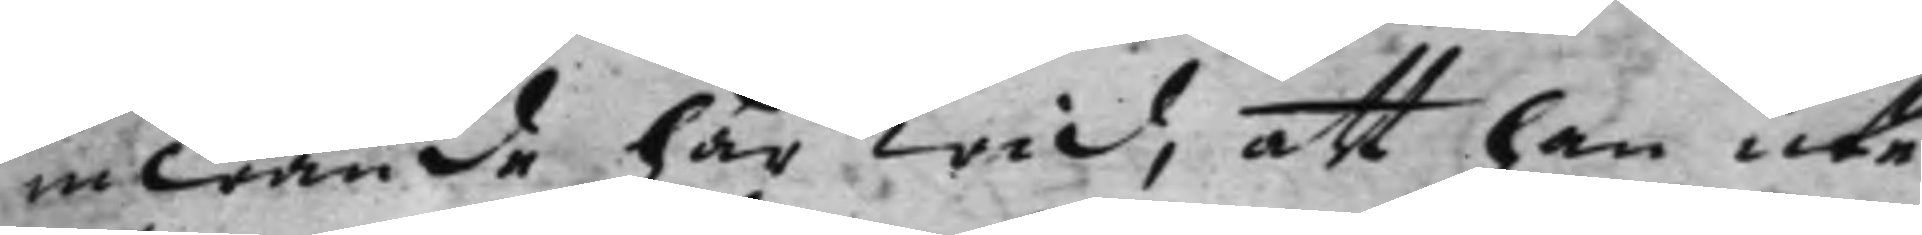inwände här wid, att han icke
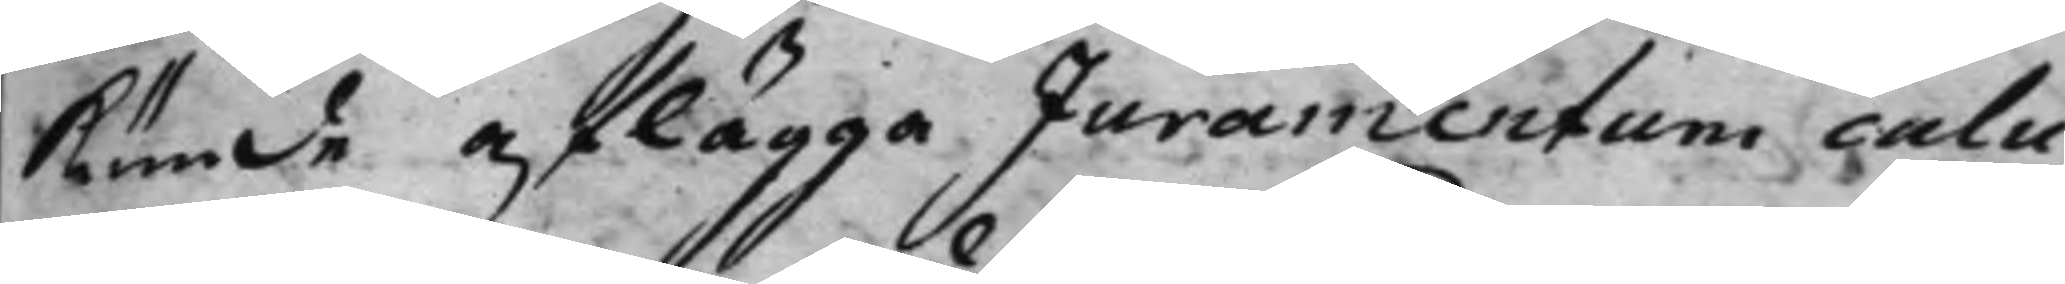kunde aflägga Juramentum calu¬
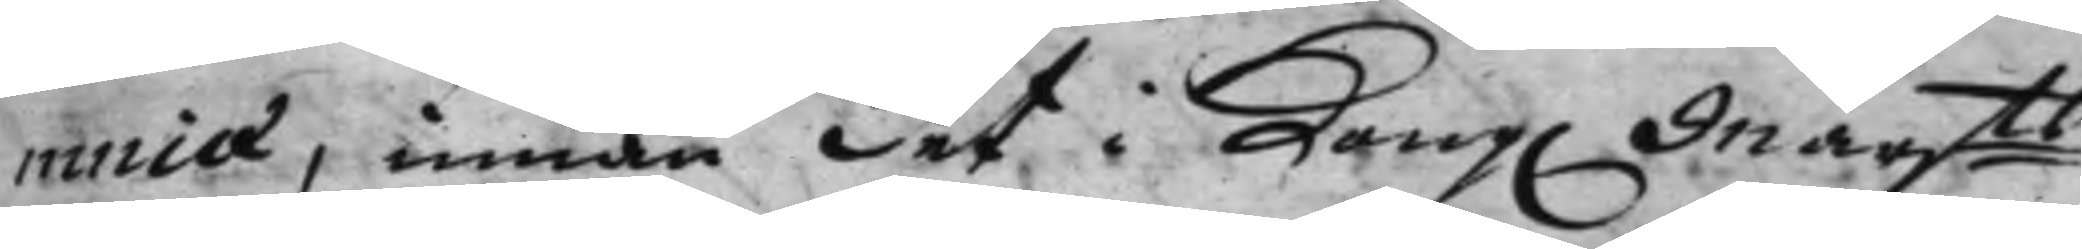miæ, innan det i Kong. Maijts
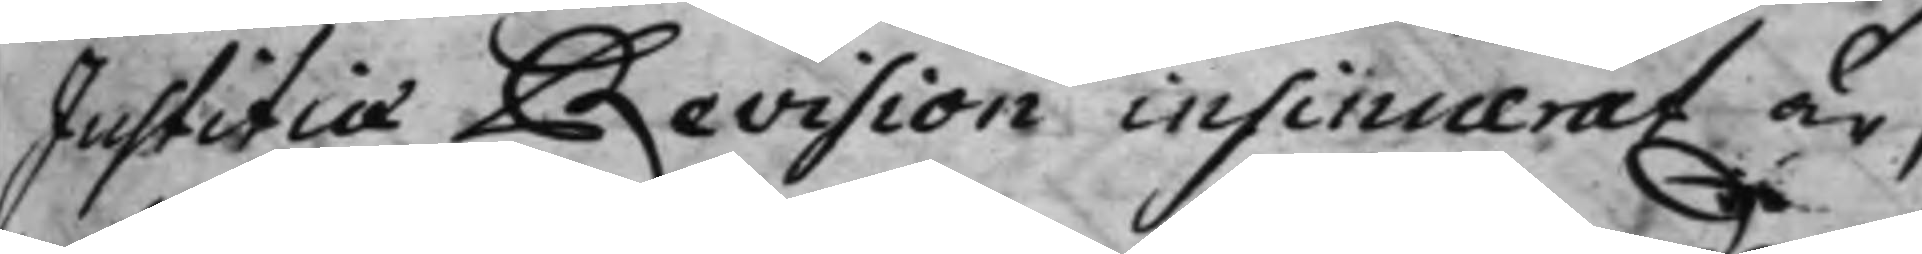Justitiæ Revision insinuerat är,
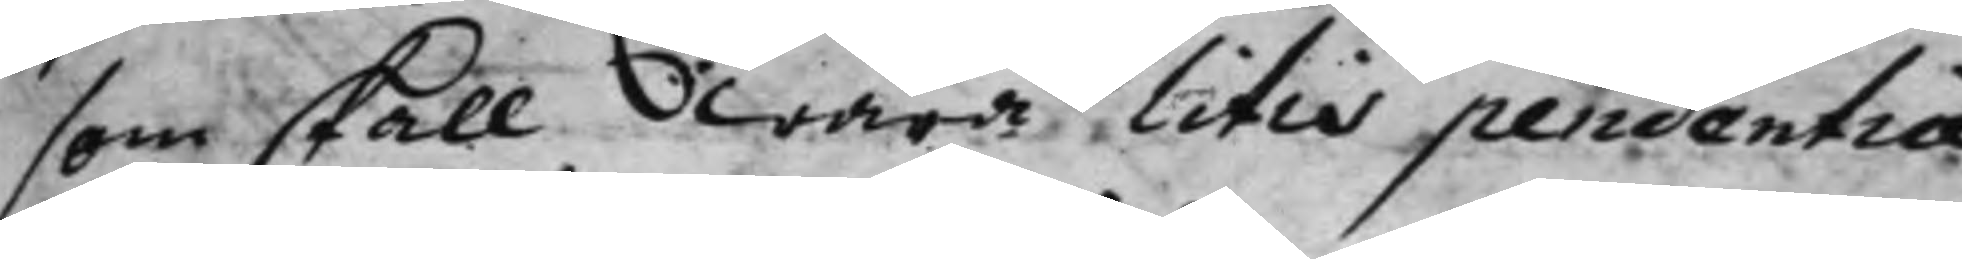som skall wara litis pendentia
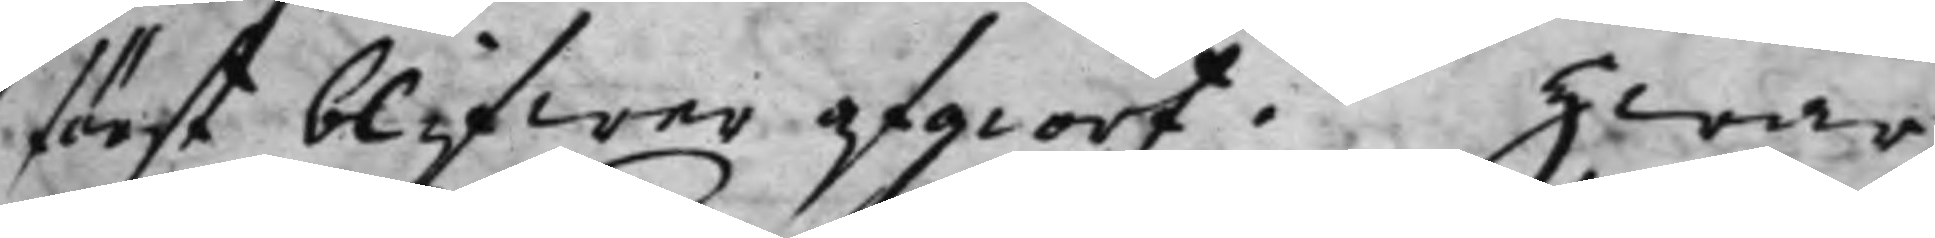först blifwer afgiort. Hwar¬
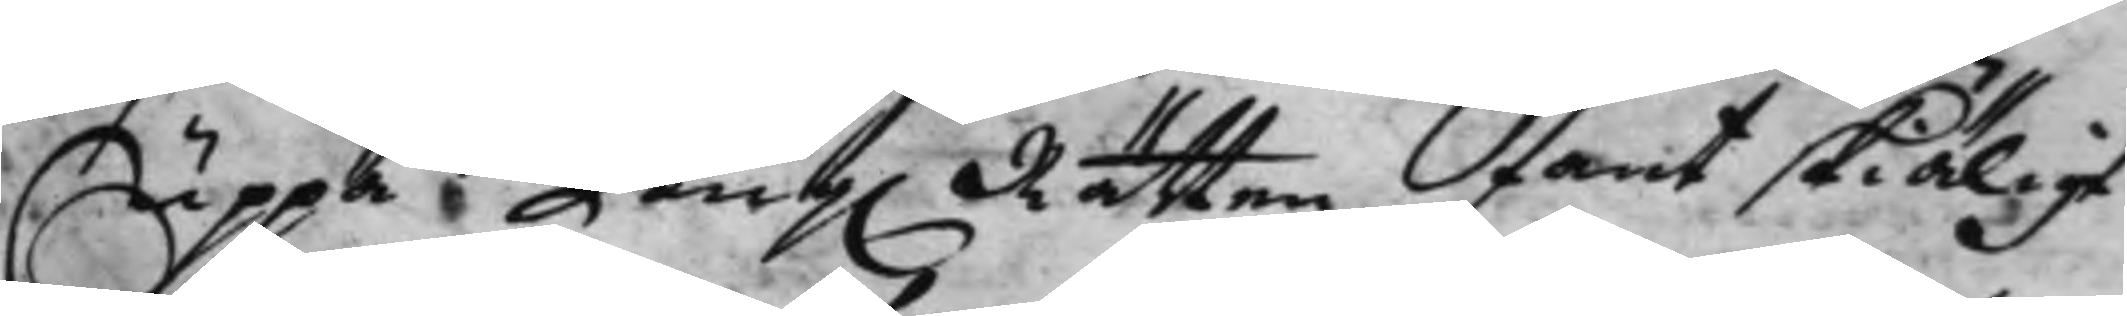Uppå Kong. Rätten fant skiäligt
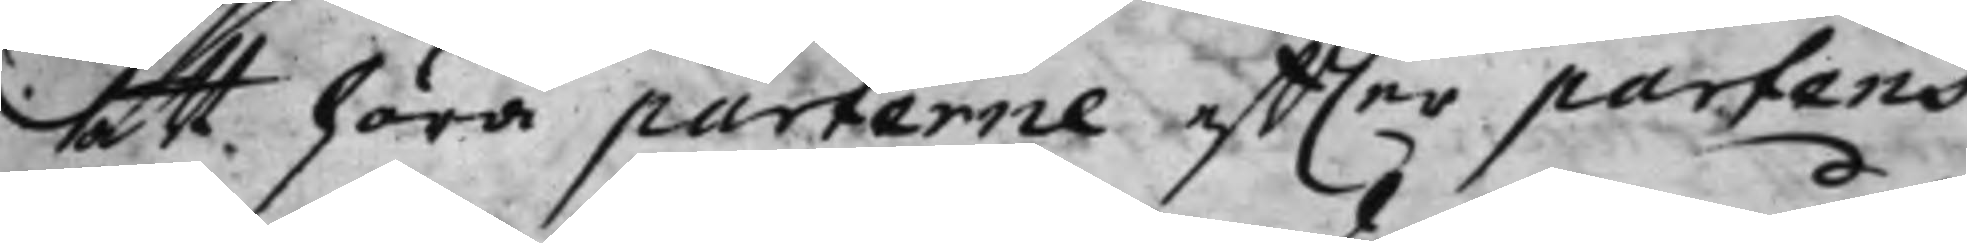att höra parterne effter partens
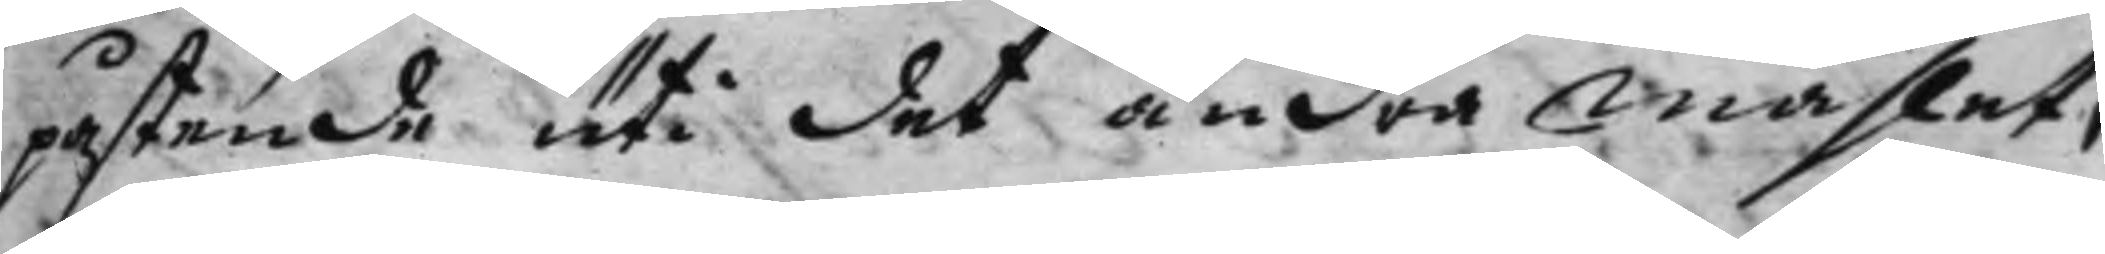påstende uti det andra måhlet,
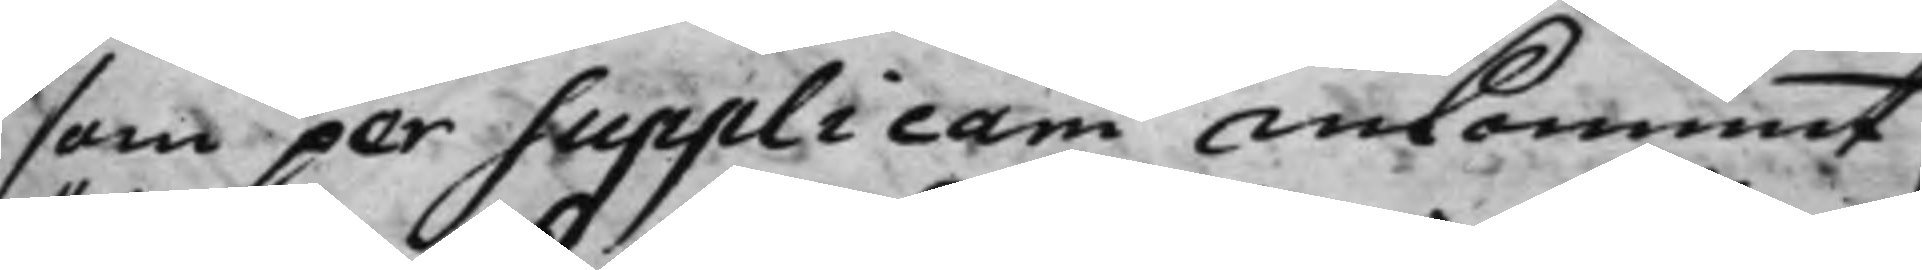som per Supplicam ankommit,
